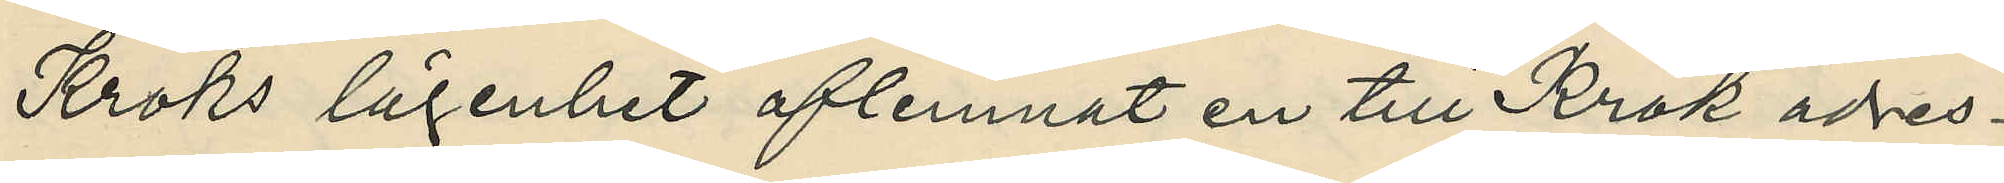Kroks lägenhet aflemnat en till Krok adres¬
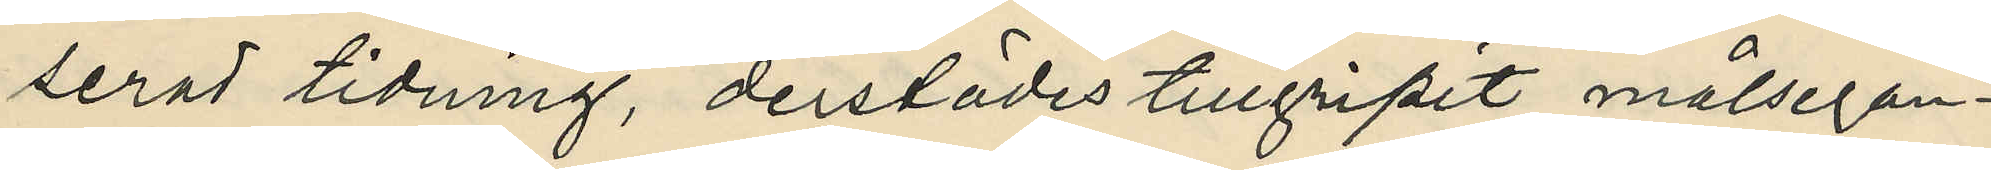serad tidning, derstädes tillgripit målsegan¬
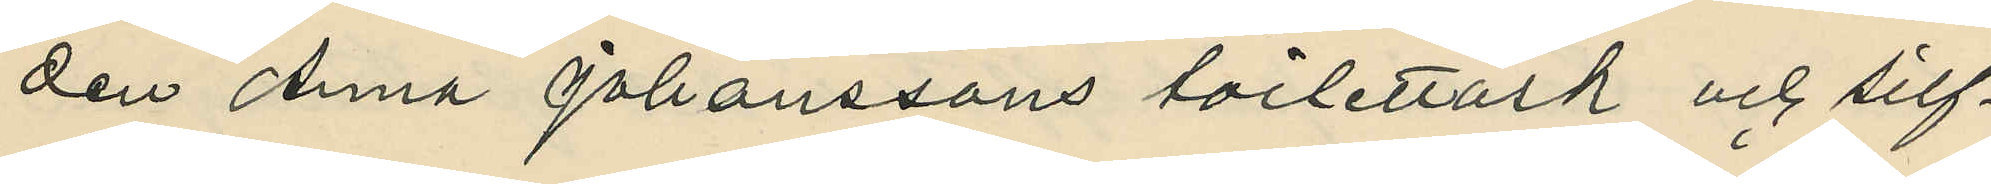den Anna Johanssons toilettask och silf¬
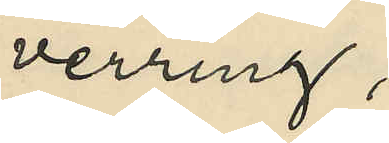verring;
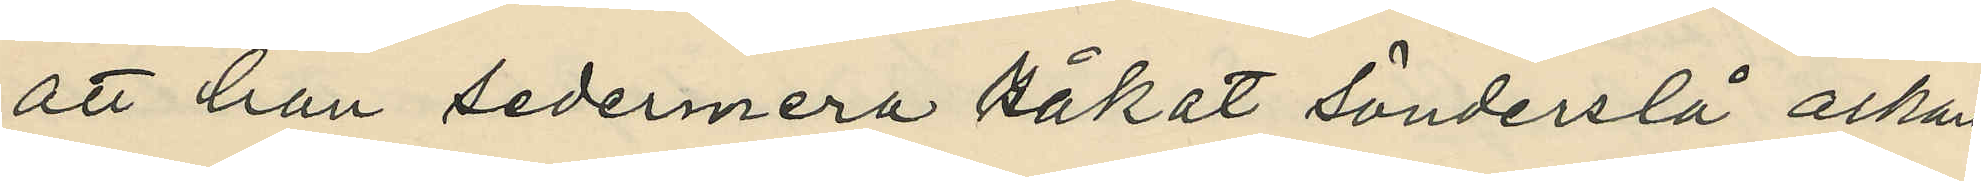att han sedermera råkat sönderslå asken
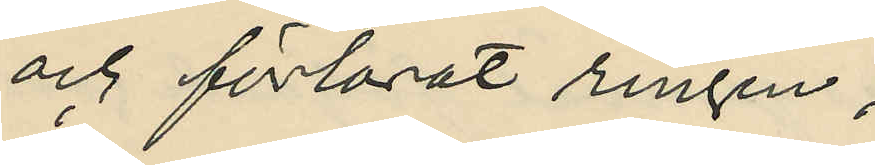och förlorat ringen;
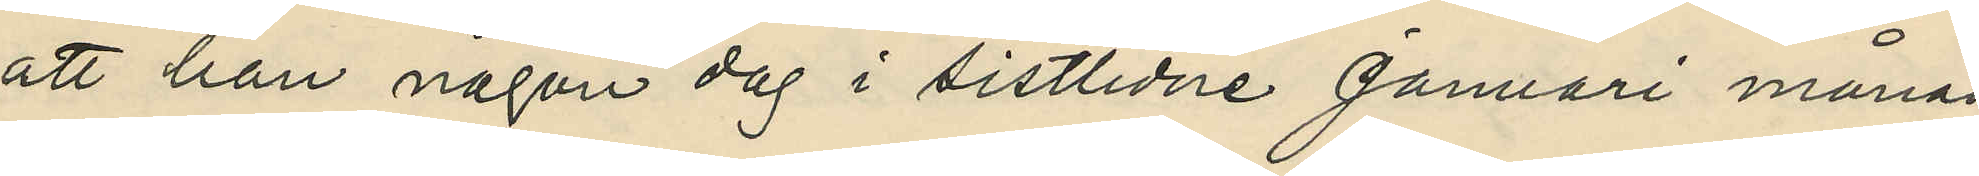att han någon dag i sistlidne Januari månad
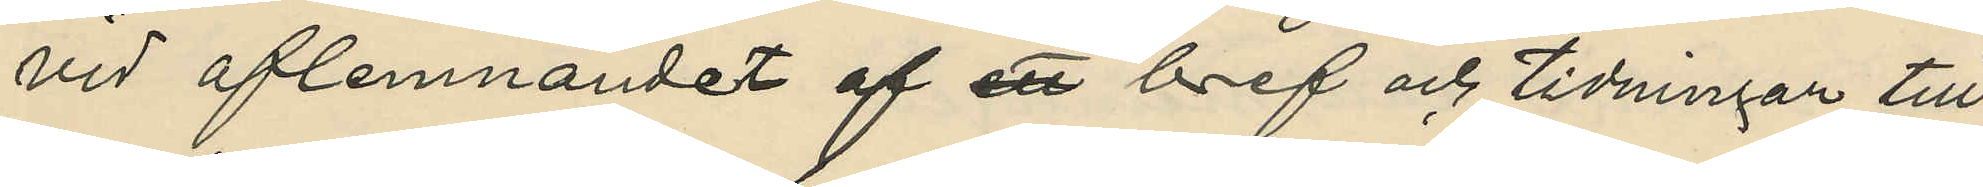vid aflemnandet af ett bref och tidningar till
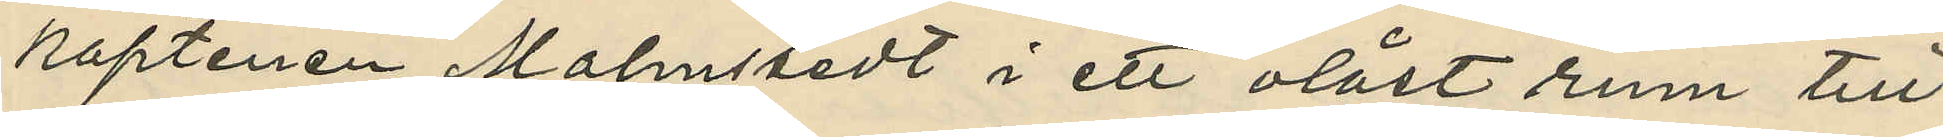kaptenen Malmstedt i ett olåst rum till
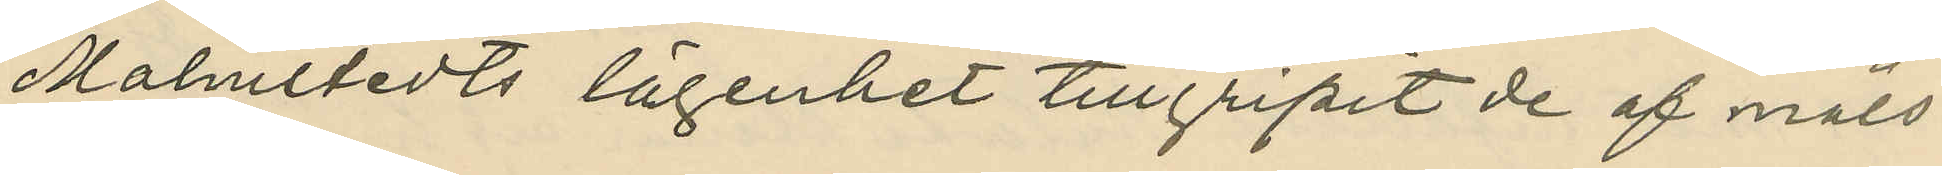Malmstedts lägenhet tillgripit de af måls¬
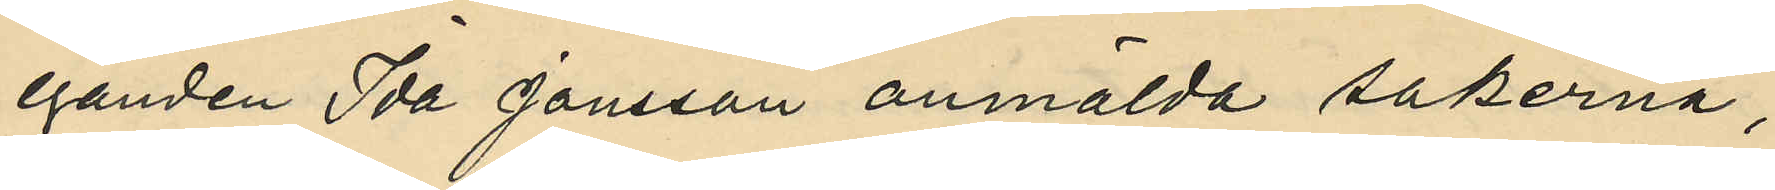eganden Ida Jansson anmälda sakerna;
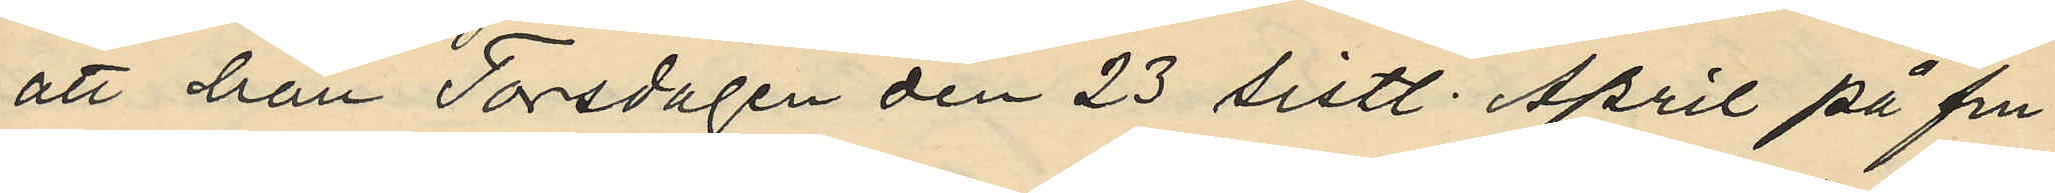att han Torsdagen den 23 sistl. April på fm.
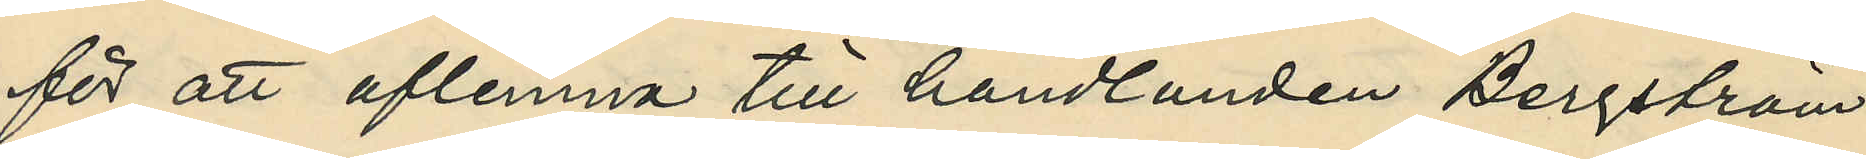för att aflemna till handlanden Bergström
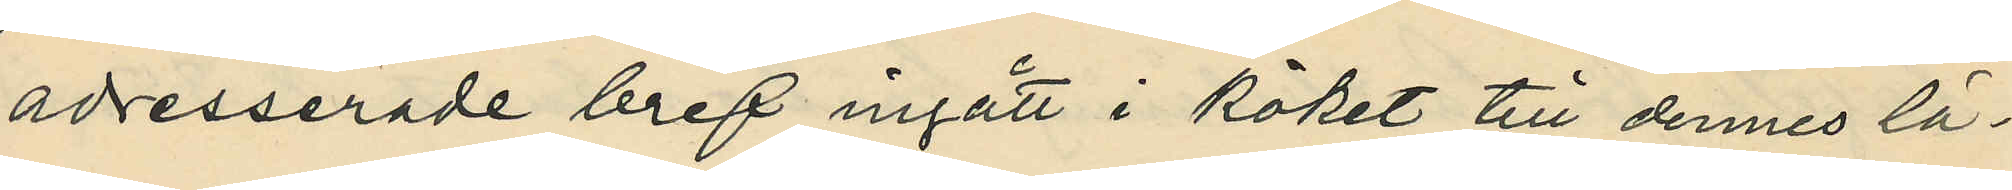adresserade bref ingått i köket till dennes lä¬
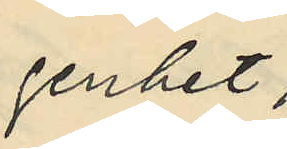genhet;
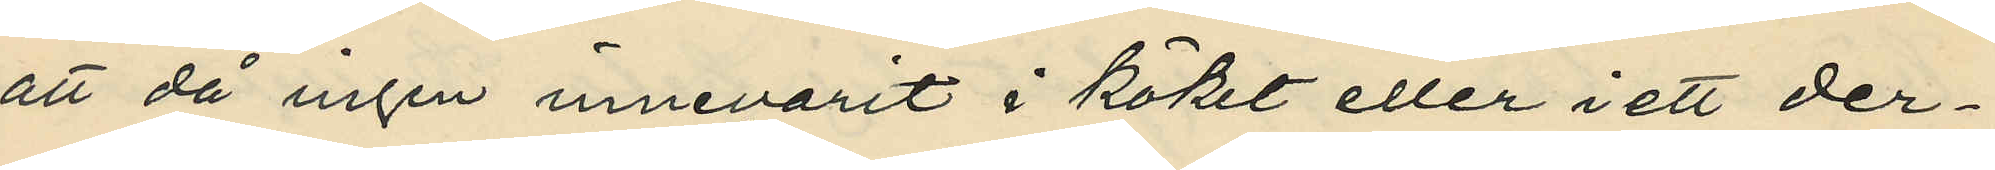att då ingen innevarit i köket eller i ett der¬
